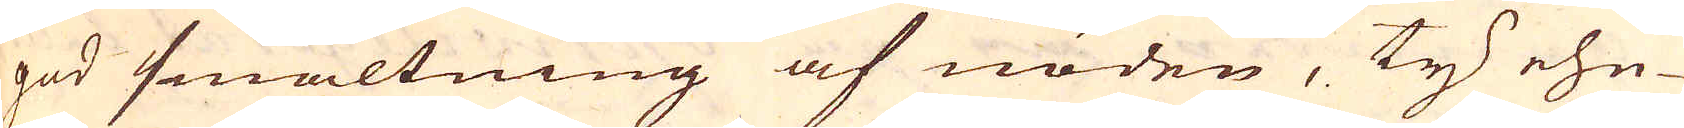god smältning af nöden, ty ehu-
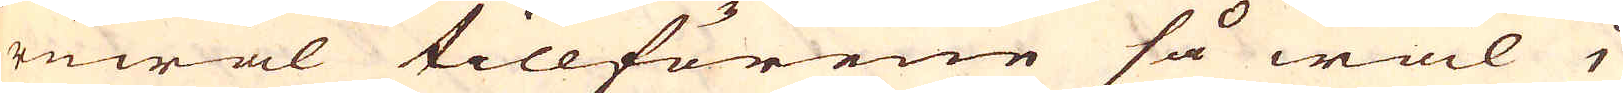ruwäl tillförene så wäl i
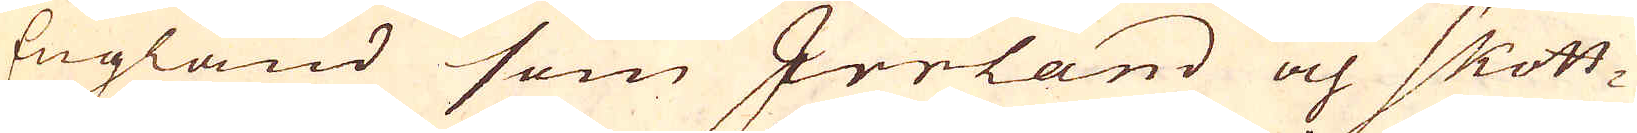England som Irrland och Skott-
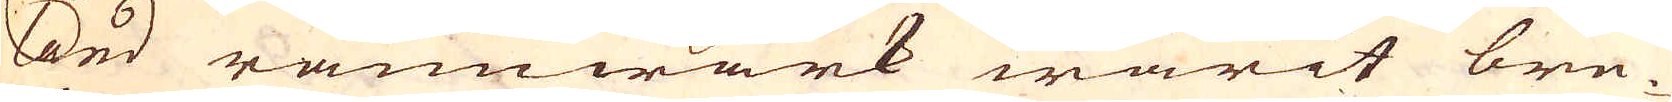land ramwärk warit bru-
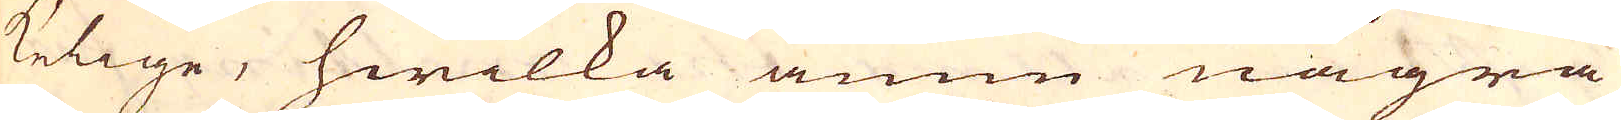kelige, hwilka ännu några
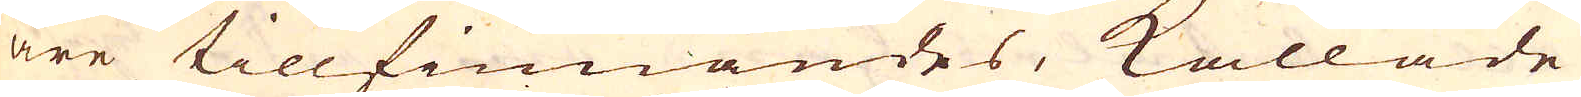äre tillfinnandes, kallade
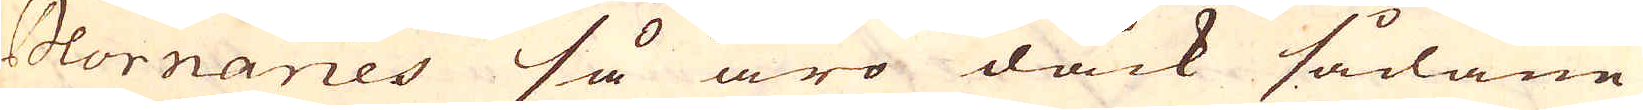Hornaries så äro dåck sådane
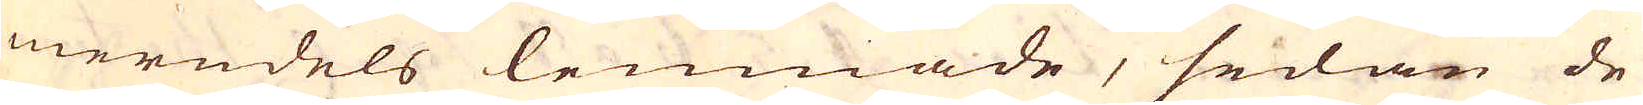merndels lemnade, sedan de
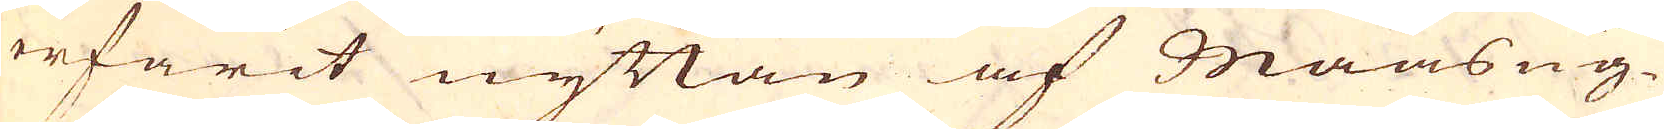erfarit nyttan af Maasug-
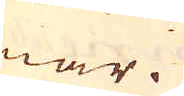nar.
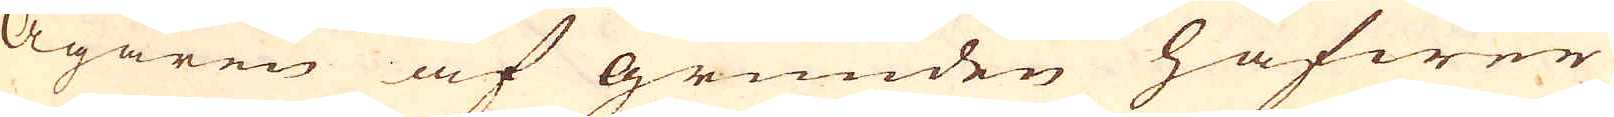Ägaren af grunden hafwer
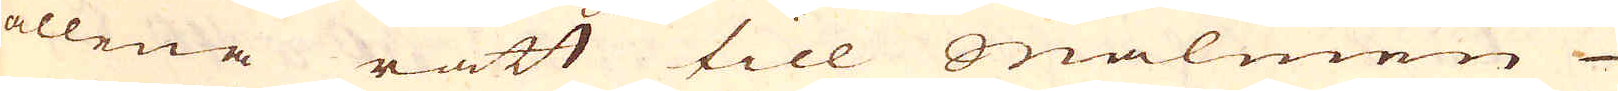allene rätt till Malmen
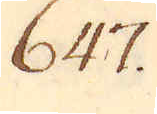647.
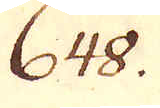648.
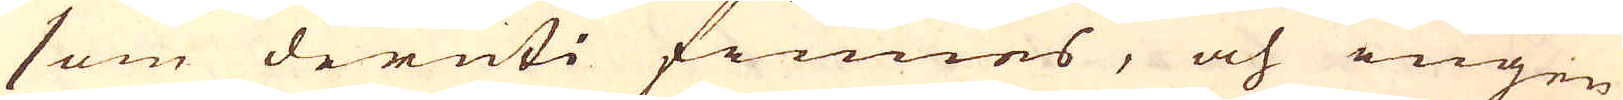som deruti finnes, och ingen
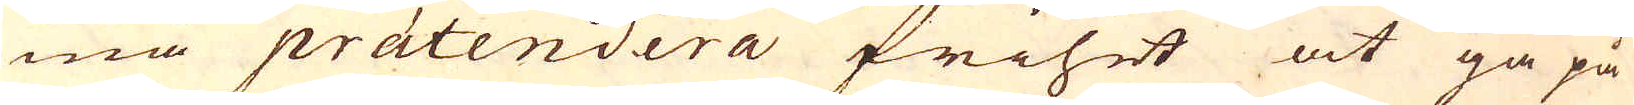må prätendera frihet at gå på
